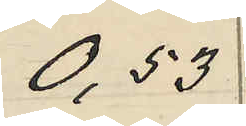0,53
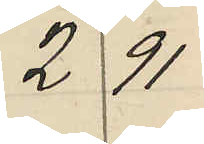2 91
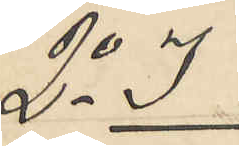2o I
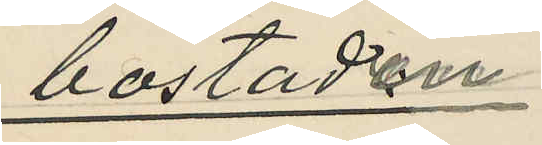bostaden:
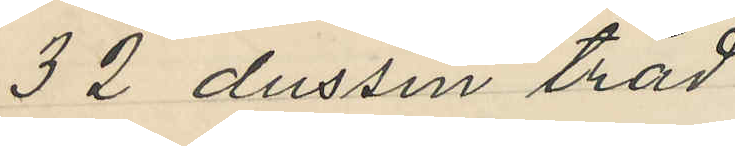32 dussin tråd
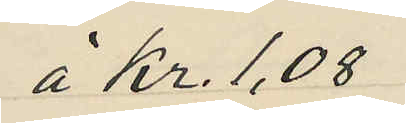å Kr. 1,08
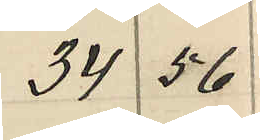34 56
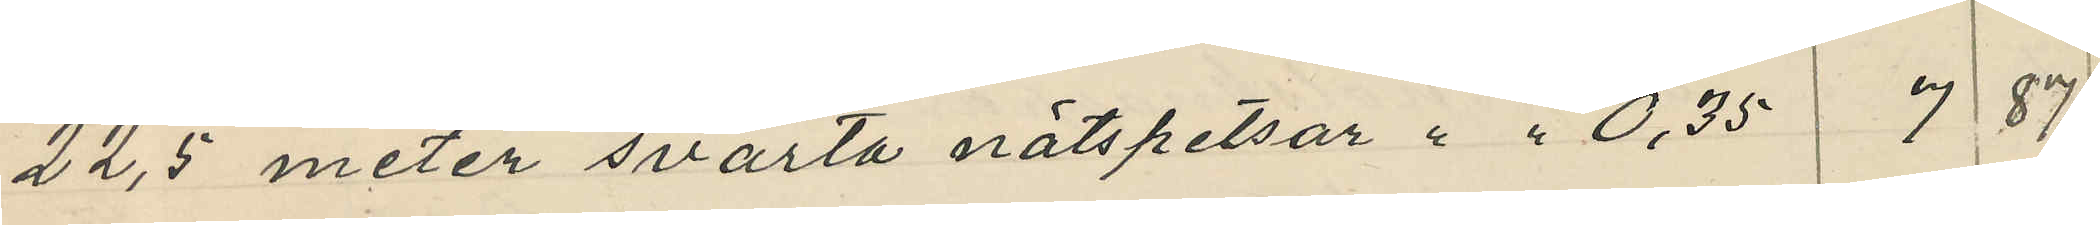22,5 meter svarta nätspetsar " " 0,35 7 87
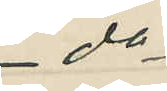do
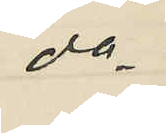do
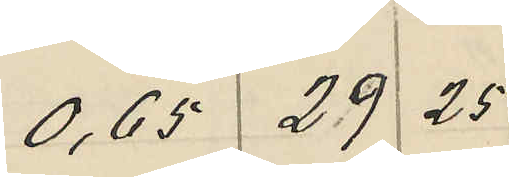0,65 29 25
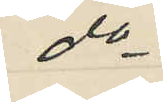do
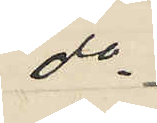do
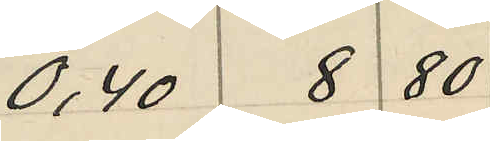0,40 8 80
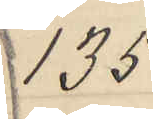135
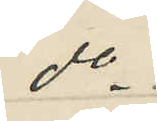do
